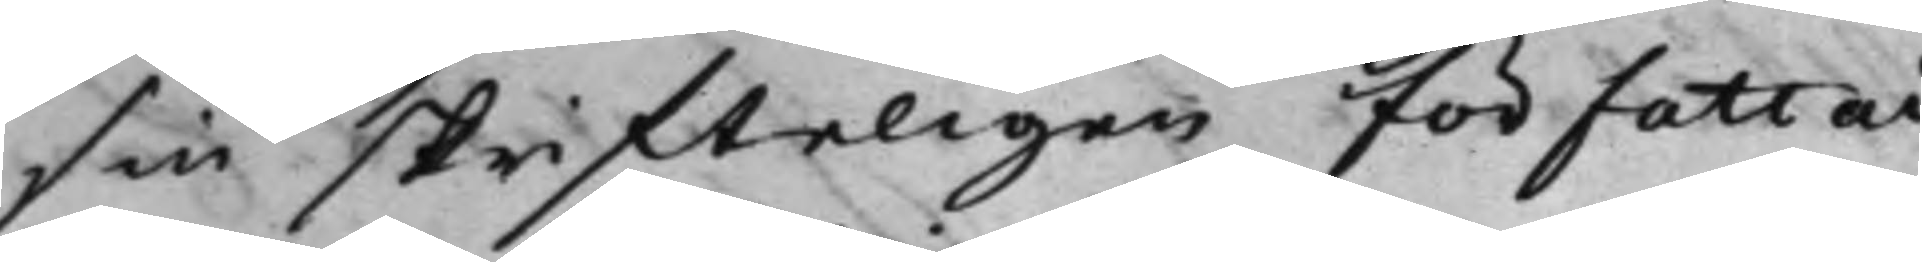sin skrifteligen författade
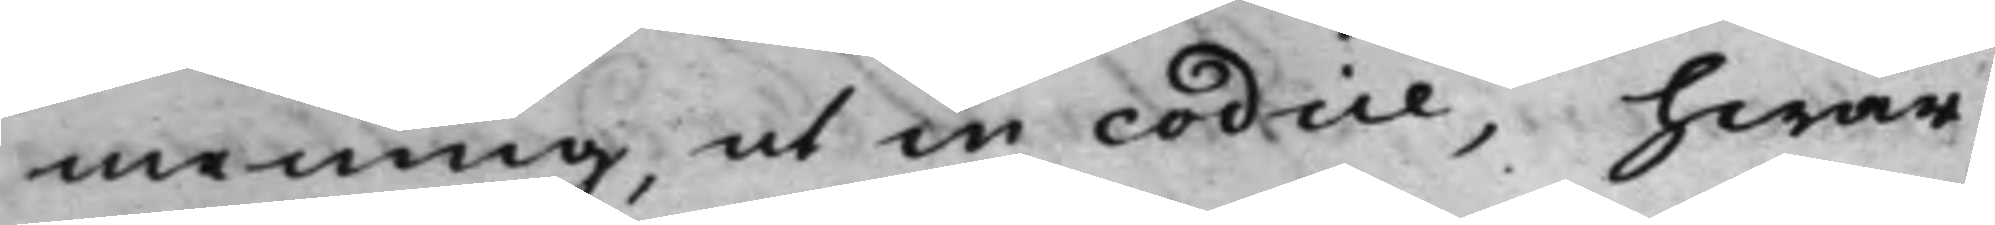mening, ut in codice, hwar¬
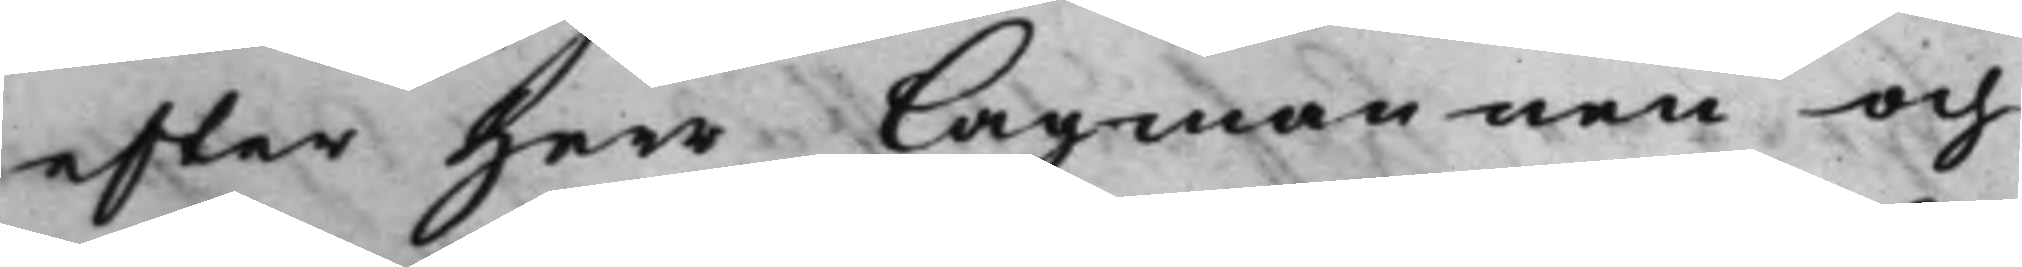efter Herr Lagmannen och
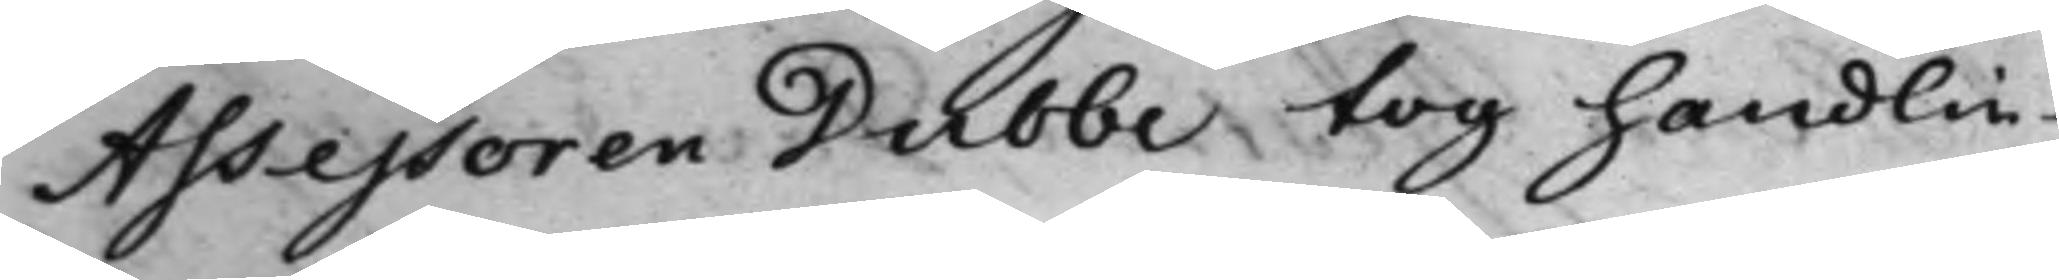Assessoren Dubbe tog handlin¬
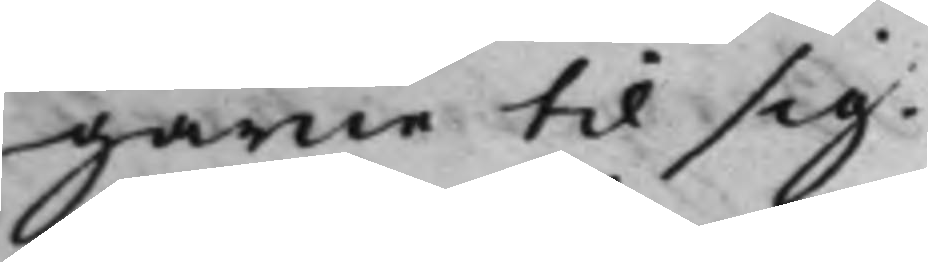garne til sig.
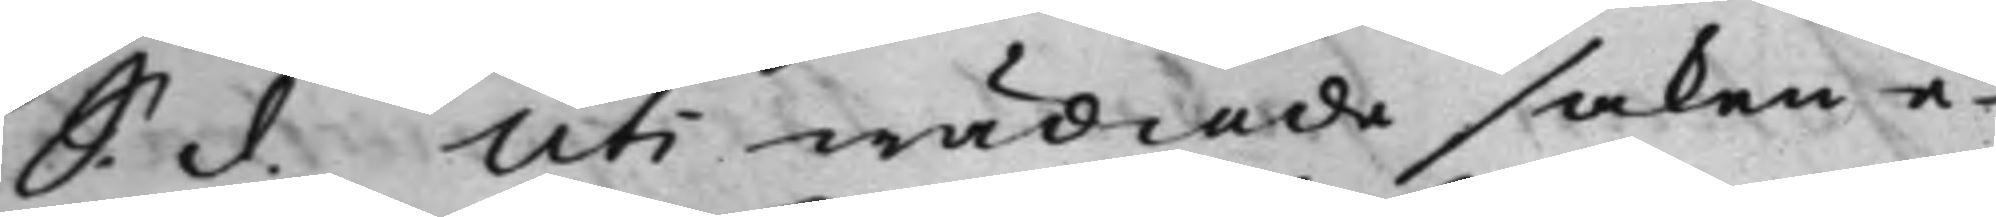S. d. Uti wädiade saken e¬
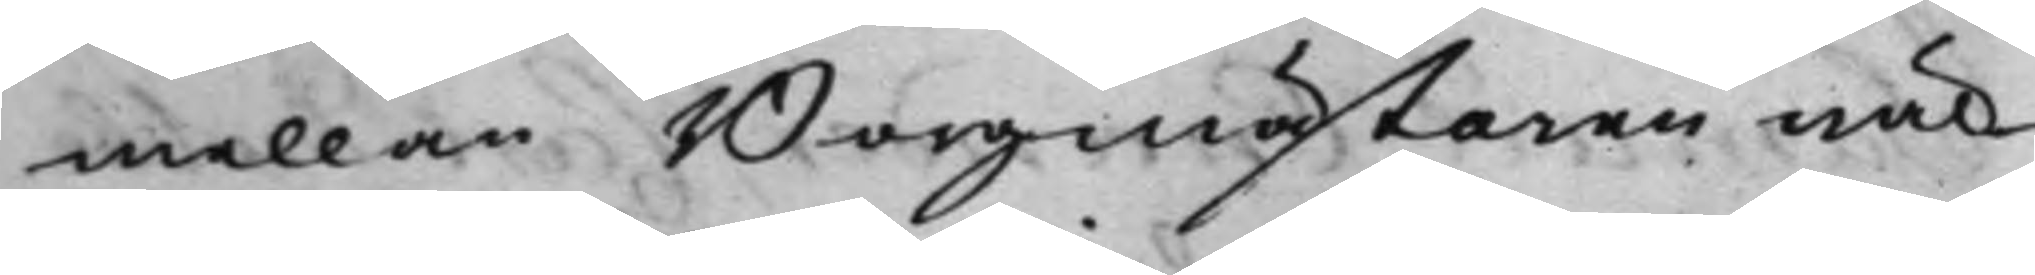mellan Borgmästaren wäl¬
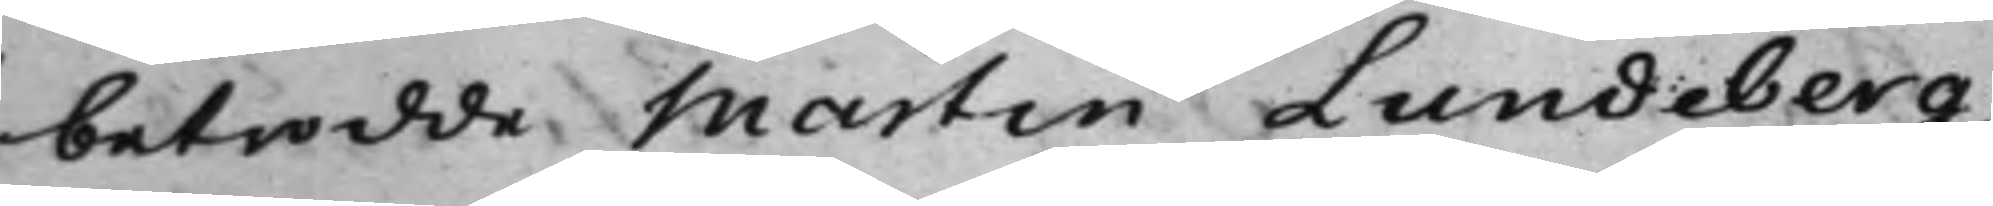betrodde. Martin Lundeberg,
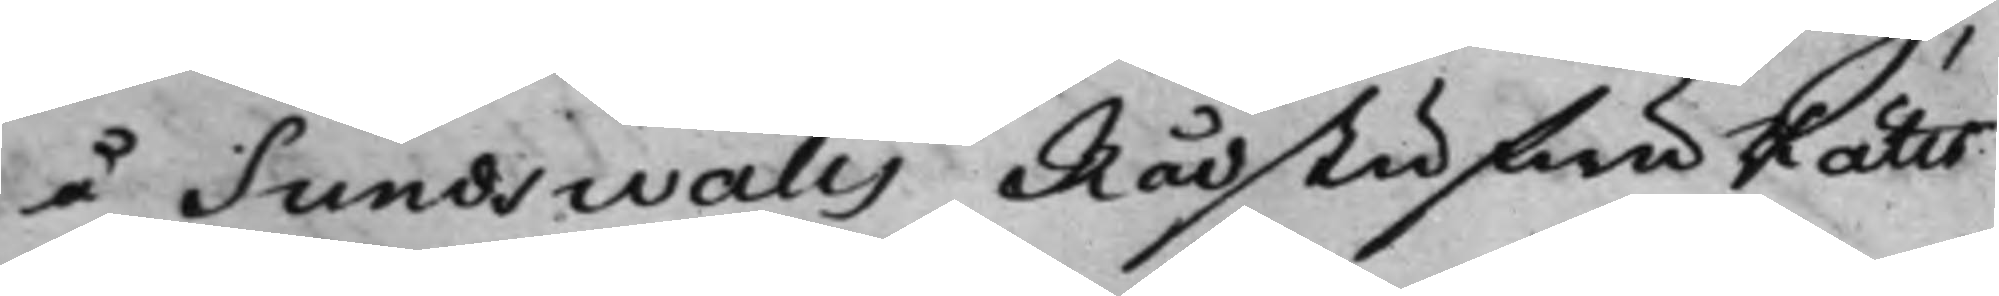å Sundswalls RådstufwuRätts
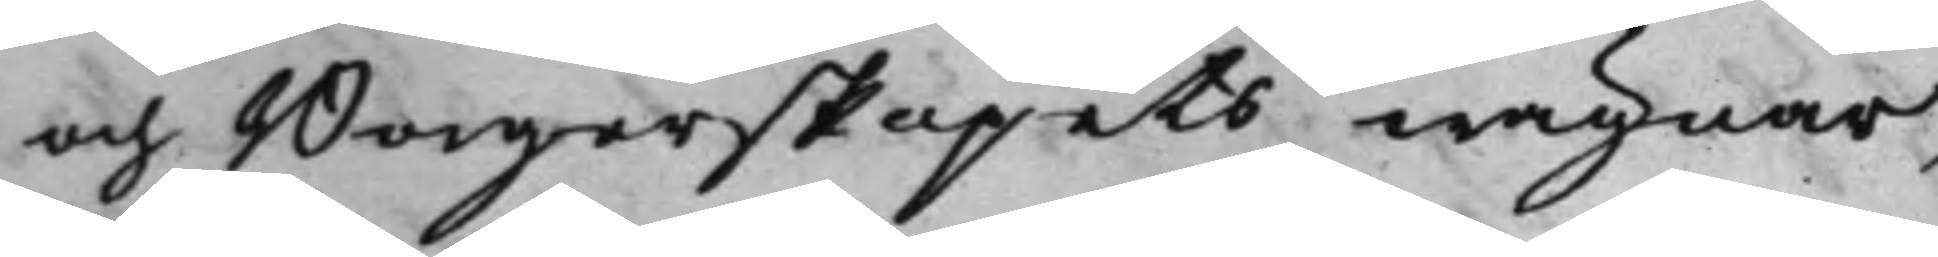och Borgerskapets wägnar,
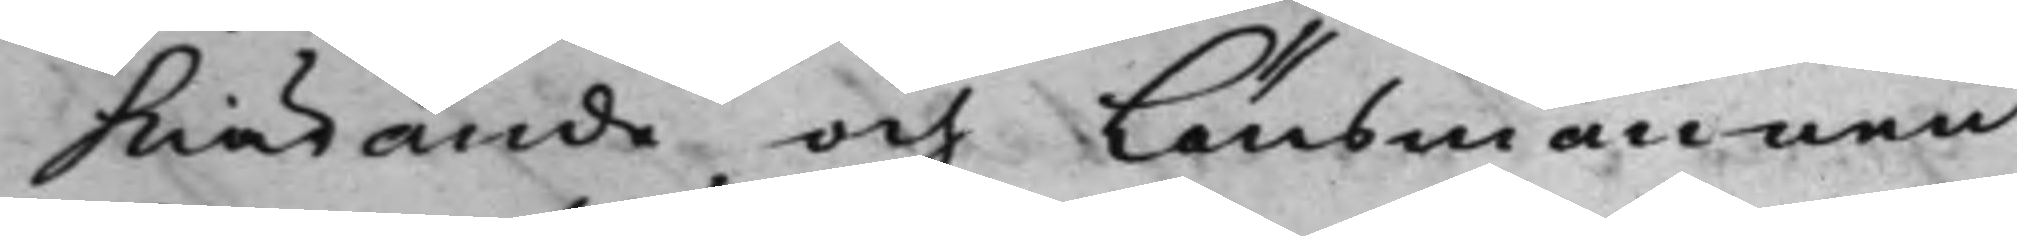Kiärande och Länsmannen
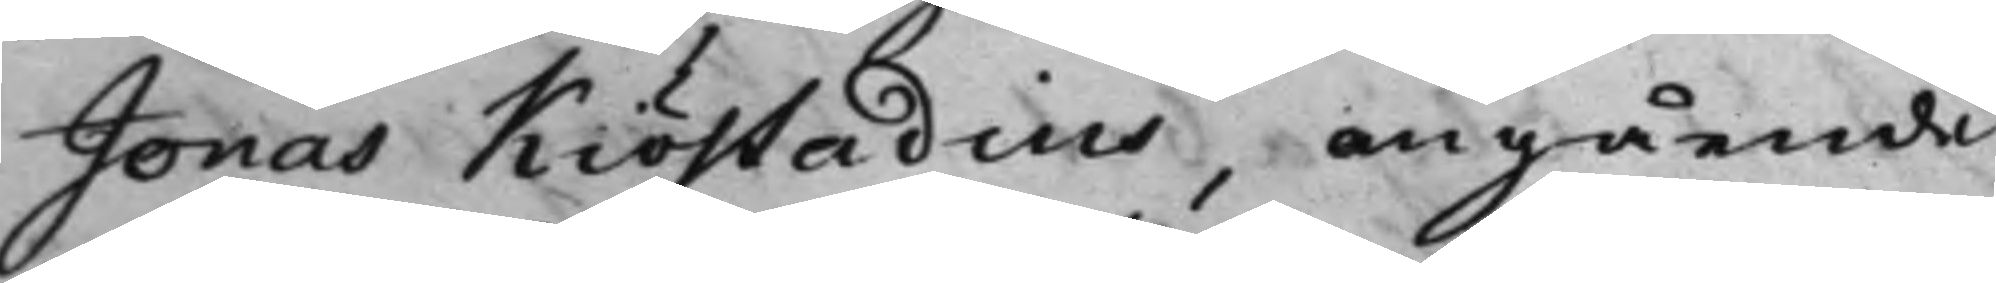Jonas Kiöstadius, angående
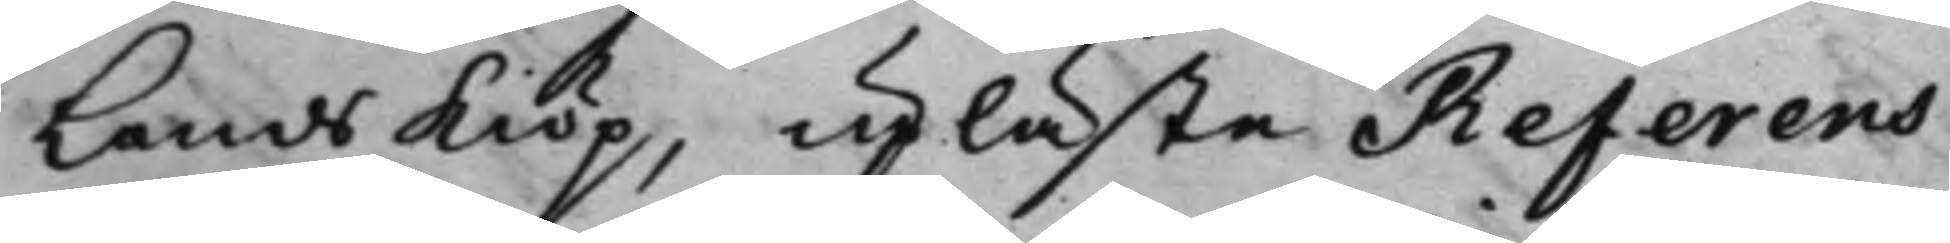Landskiöp, upläste Referens
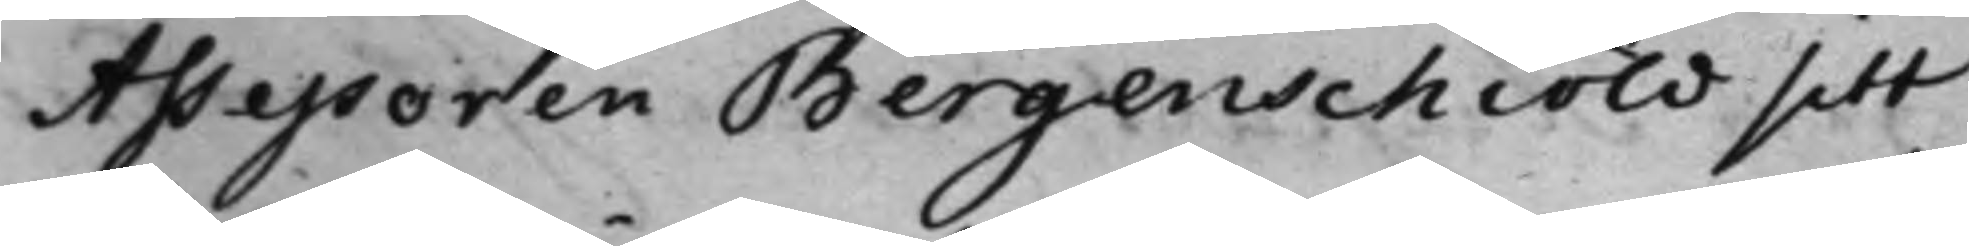Assessoren Bergenschiöld sitt
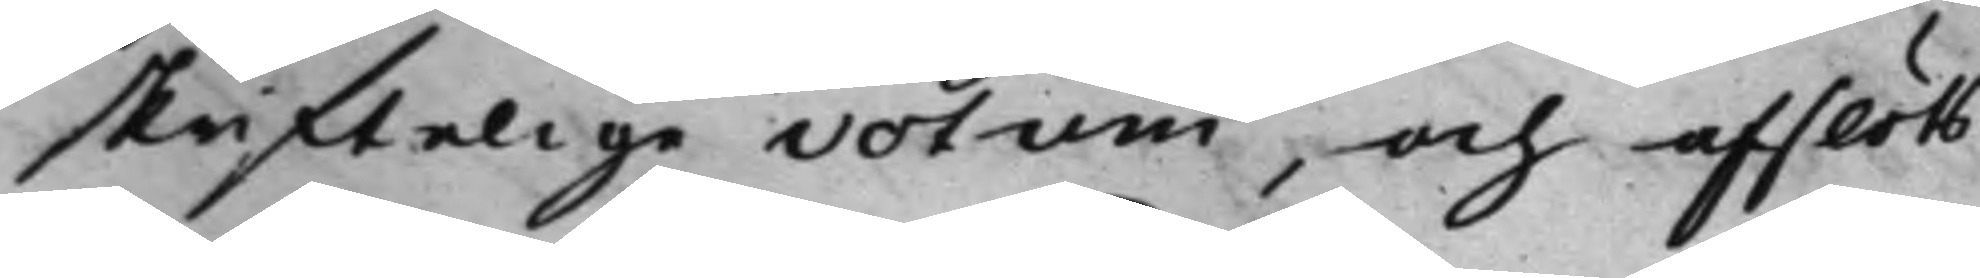skriftelige votum, och afslöts
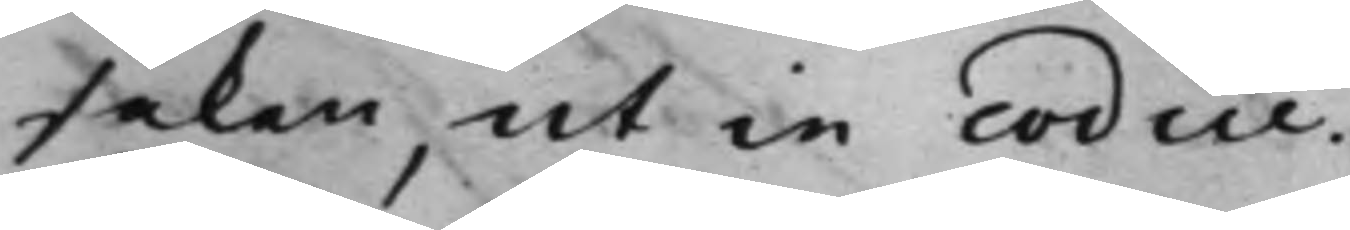saken, ut in codice.
